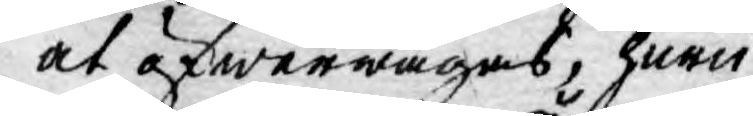at öfwerwägas, huru
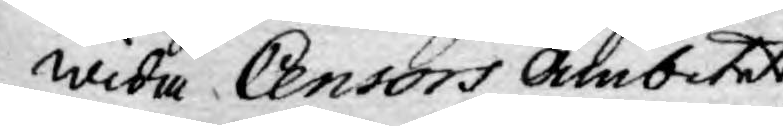wida Censors Ämbetet,
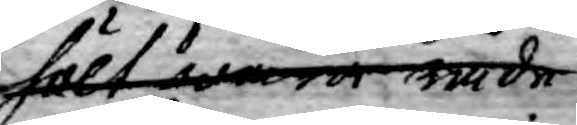hölt wara ände¬
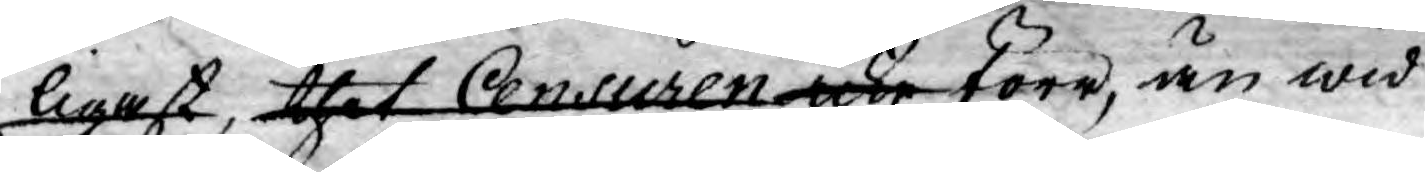ligast, thet Censuren icke förr, än wid
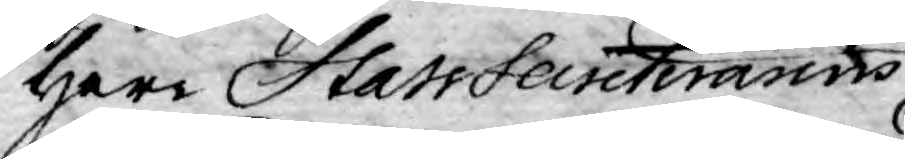Herr StatsSecreterarens
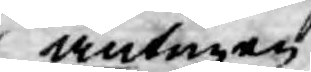antingen
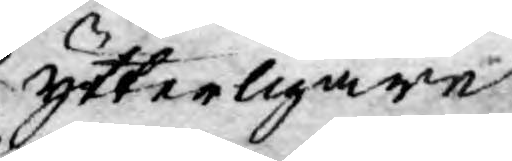ytterligare
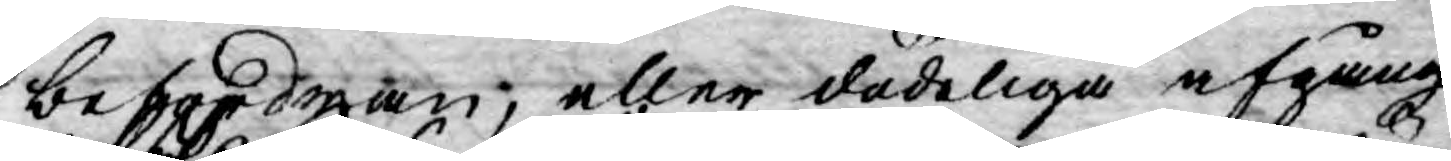befordan, eller dödeliga afgång
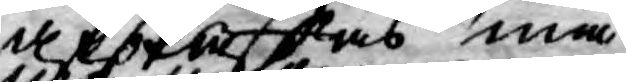afskaffas må.
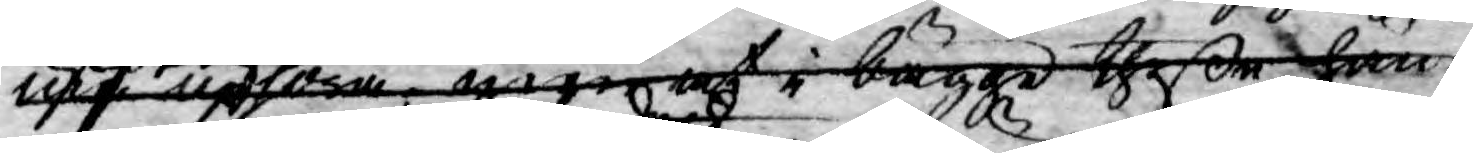må uphöra men at i bägge theße hän¬ 
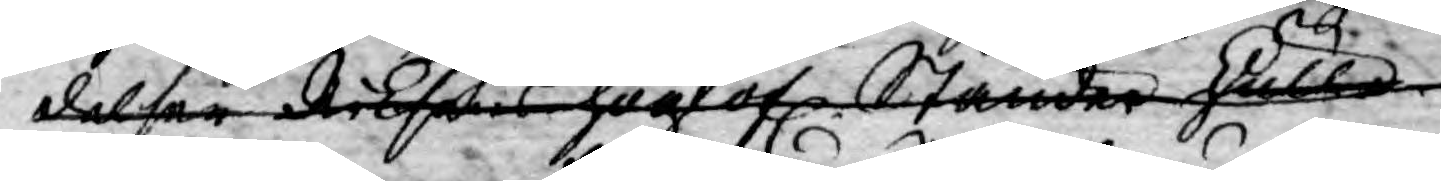delser Riksens höglof. Ständer skulle
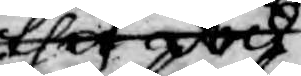thet dock
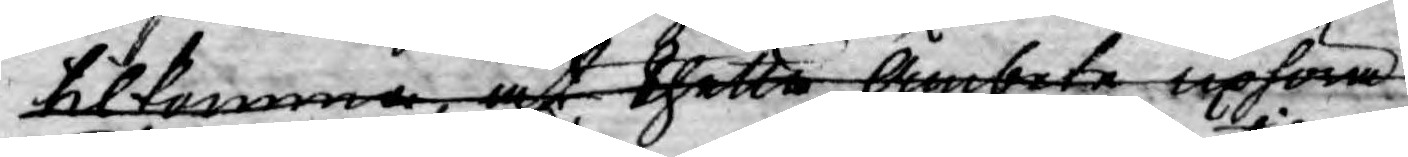tilkomma, at thetta Ämbete uphöra
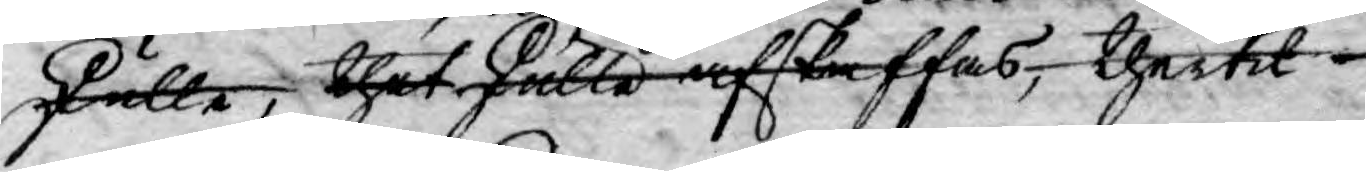skulle, thet skulle afskaffas, thertil
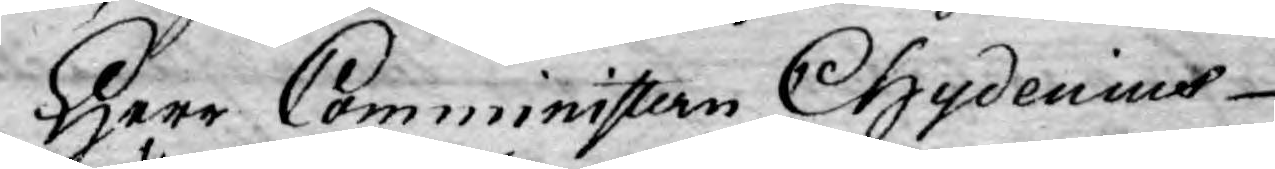Herr Comministern Chydenius
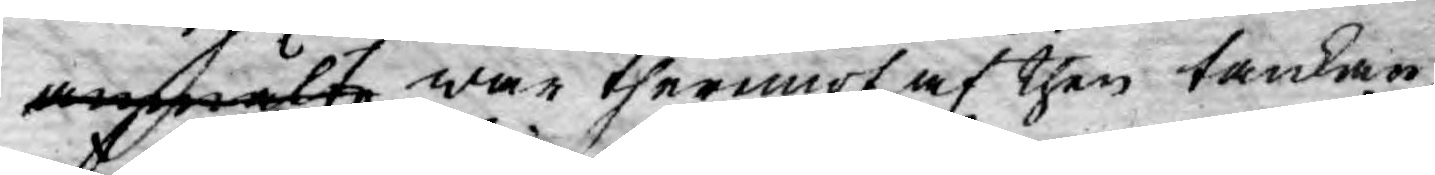anmälte war thermot af then tankan
